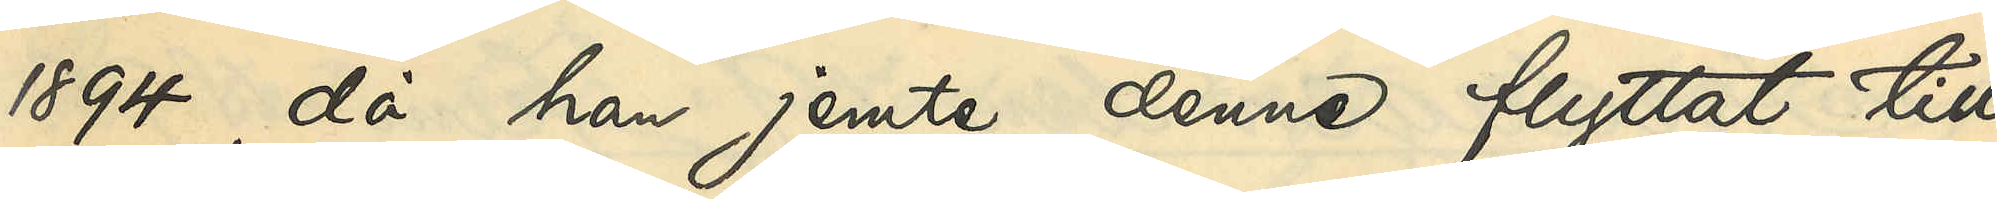1894, då han jemte denne flyttat till
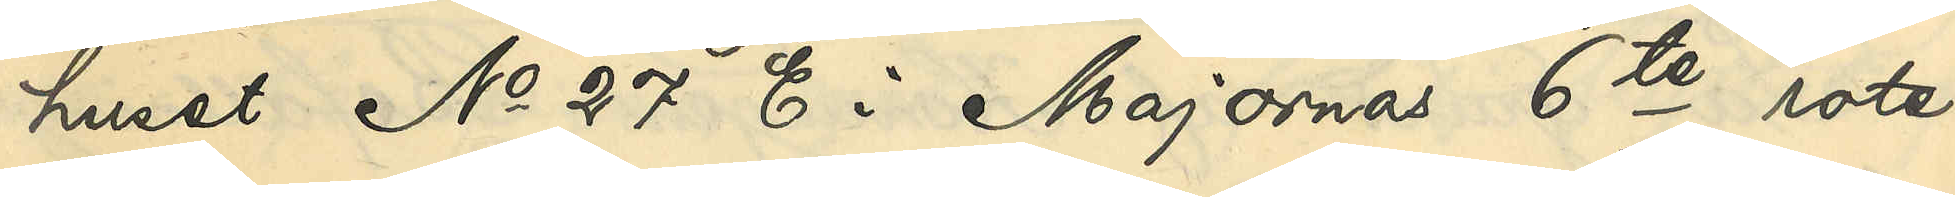huset No 27 E i Majornas 6te rote,
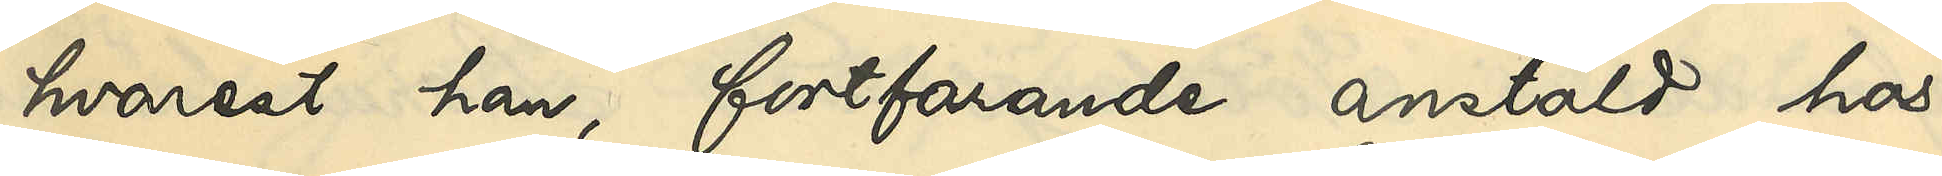hvarest han, fortfarande anstäld hos
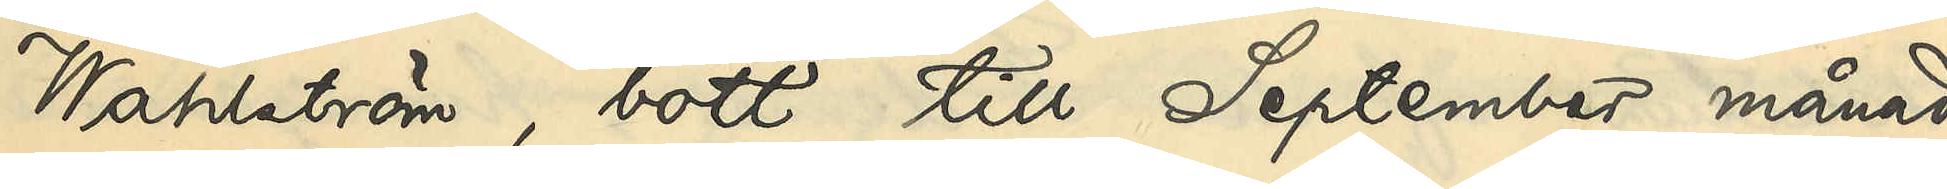Wahlström, bott till September månad
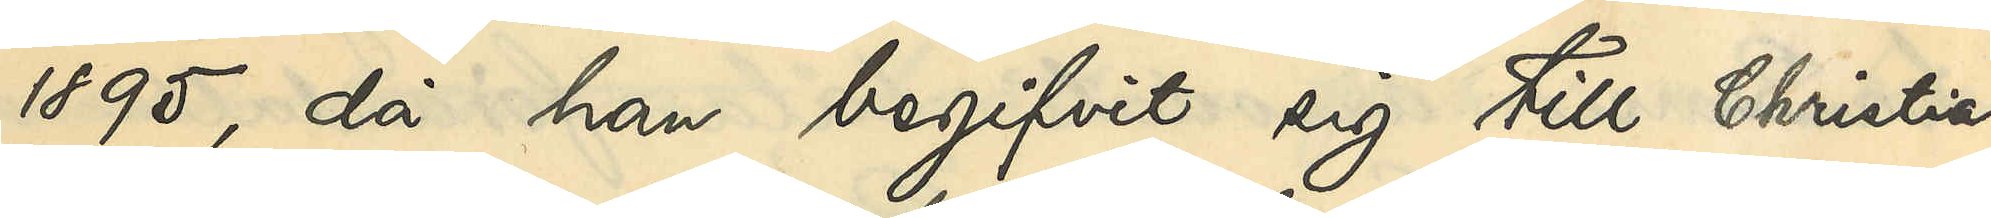1895, då han begifvit sig till Christia¬
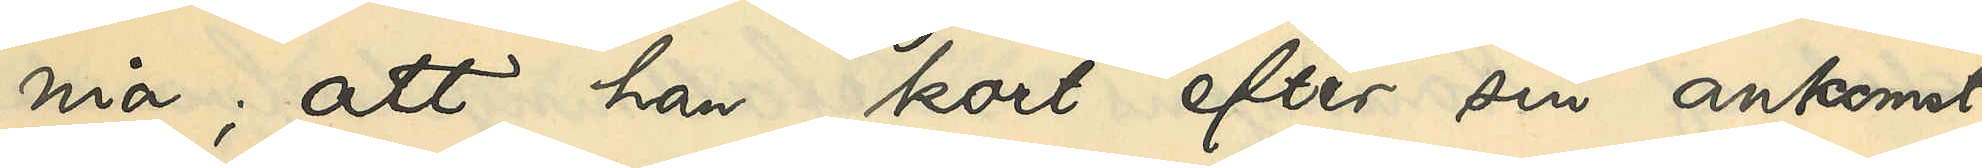nia; att han kort efter sin ankomst
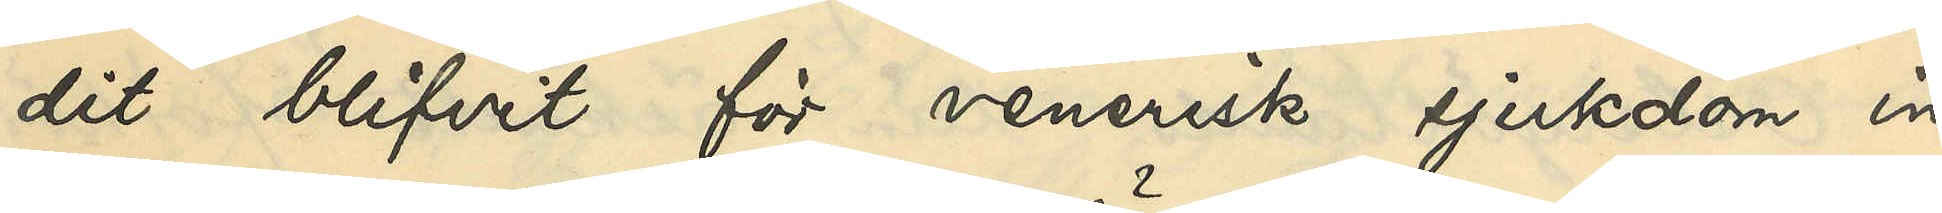dit blifvit för venerisk sjukdom in¬
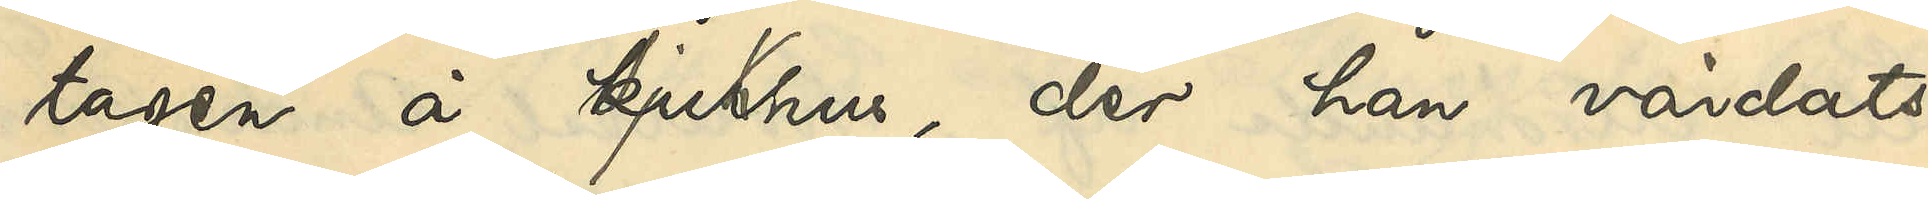tagen å Sjukhus, der han vårdats
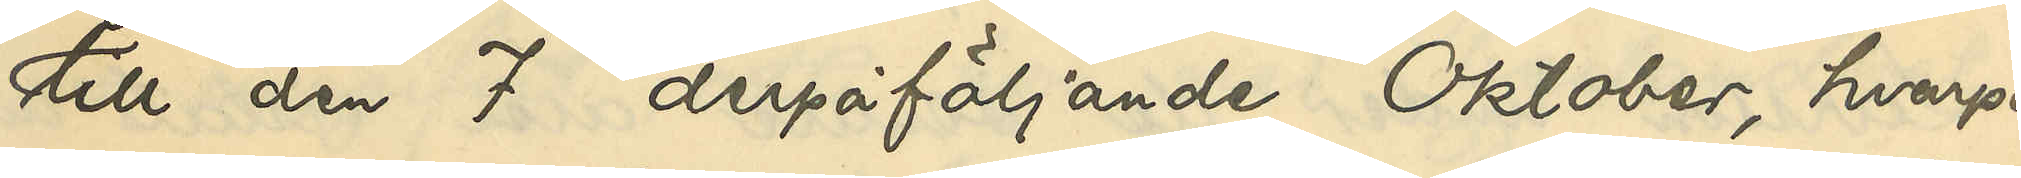till den 7 derpåföljande Oktober, hvarpå
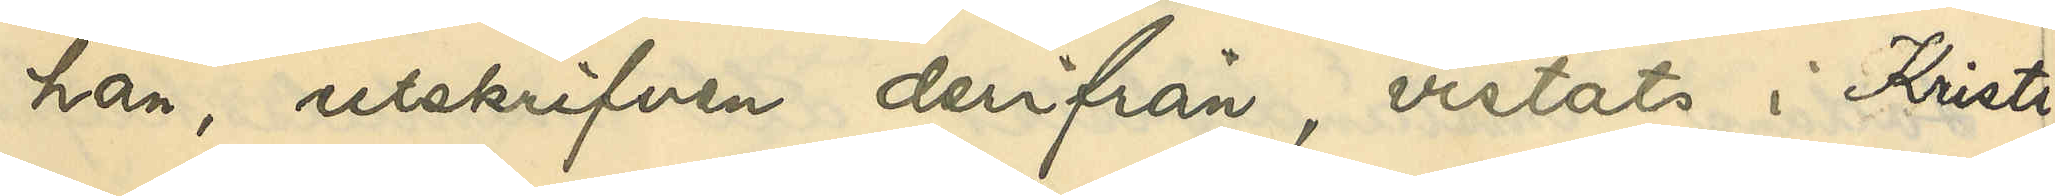han, utskrifven derifrån, vistats i Kristi¬
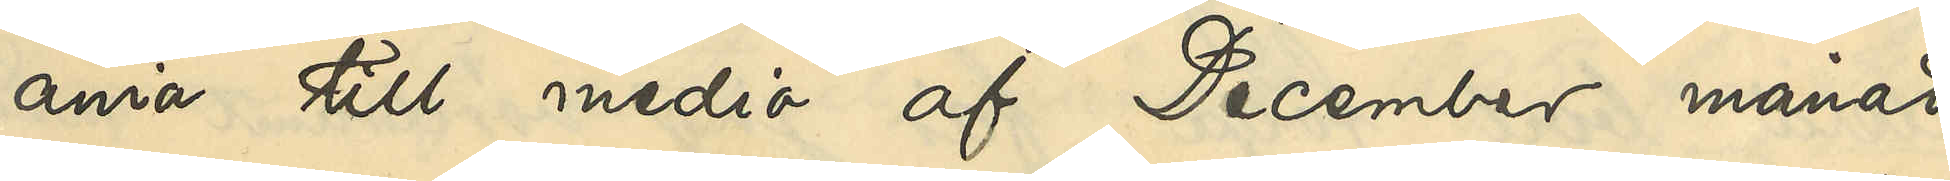ania till medio af December månad
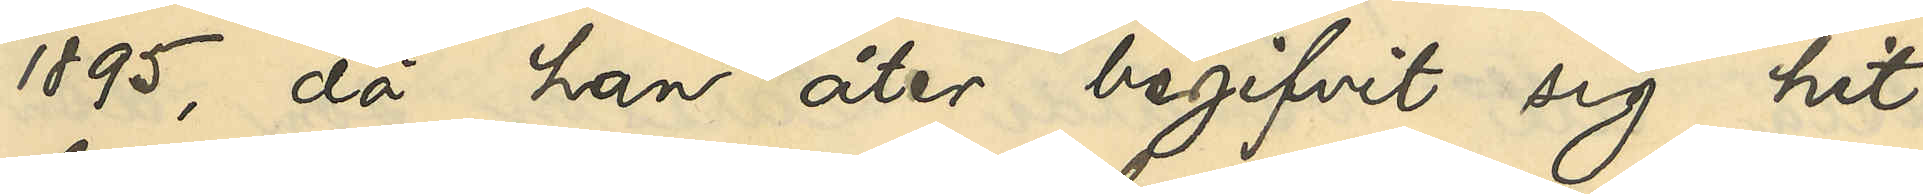1895, då han åter begifvit sig hit 
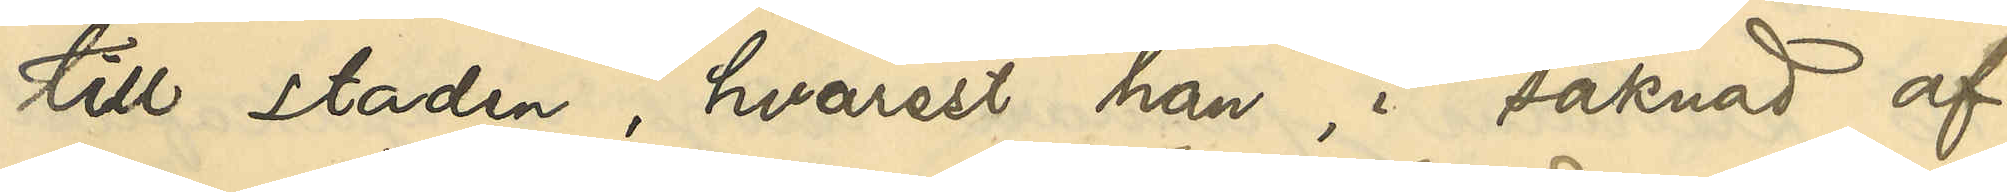till staden, hvarest han i saknad af
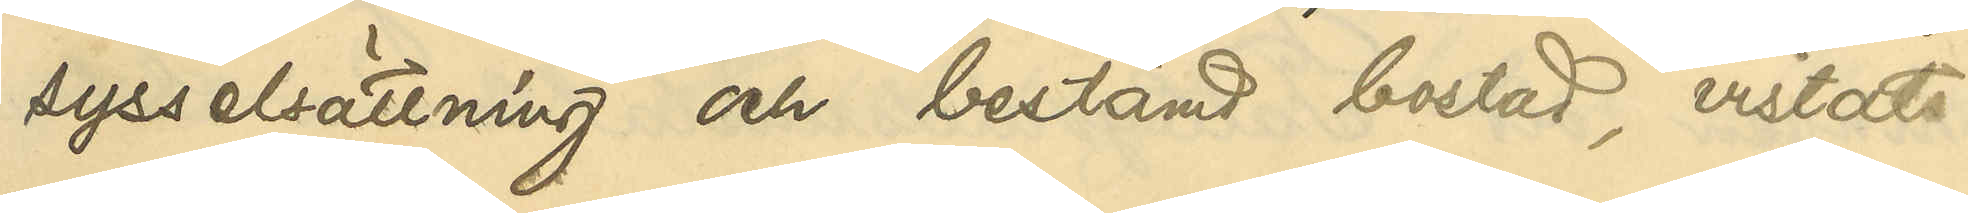sysselsättning och bestämd bostad, vistats
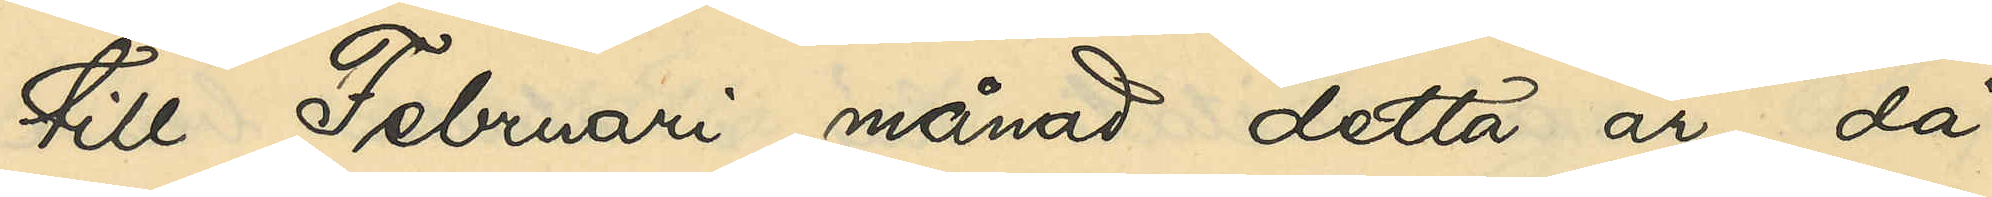till Februari månad detta år, då
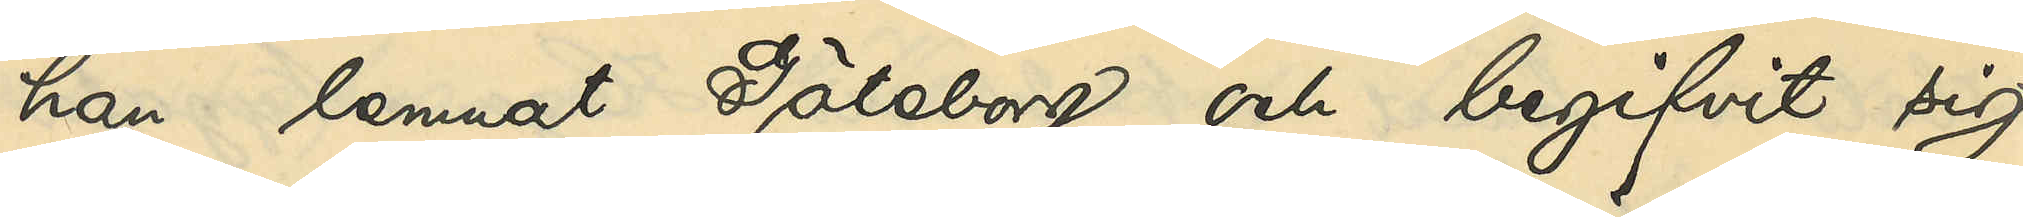han lemnat Göteborg och begifvit sig
